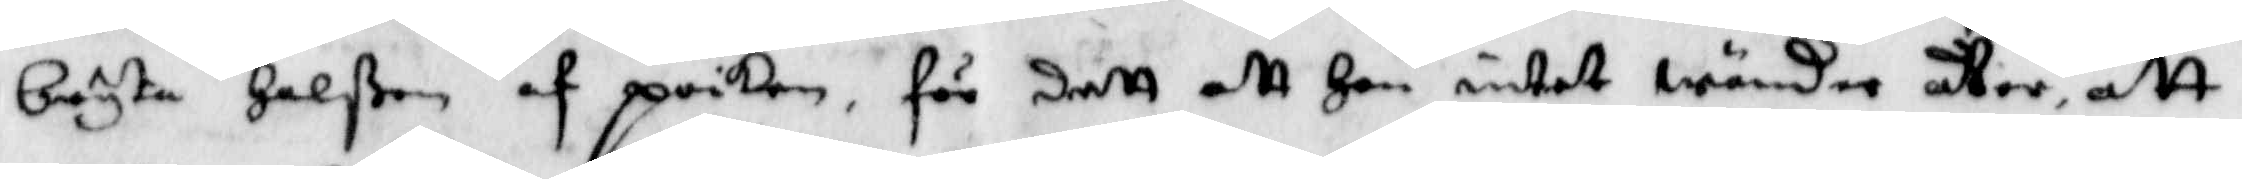bryta Halßen af poiken, för dett att Han intet wänder återm att
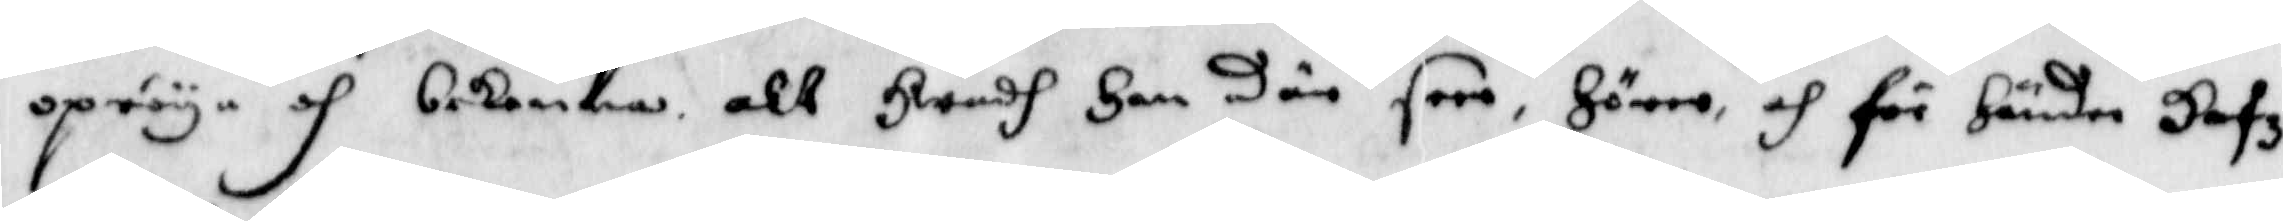opröya och bekenna alt Hwadh Han där seer, Hörre och för Händer Hafz
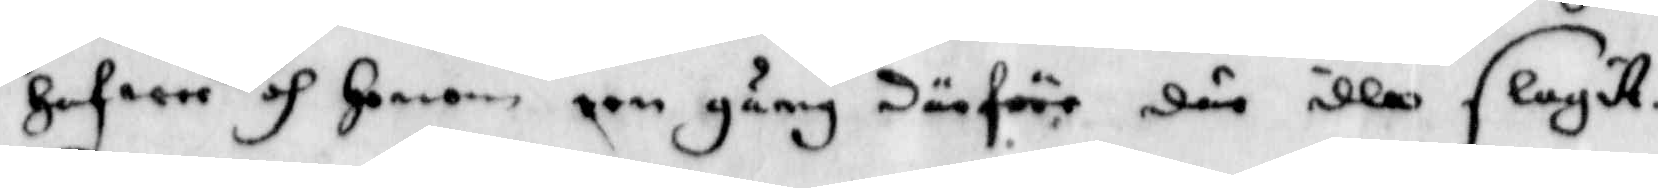Hafwer och Honom een gång därföre där illa slagitt.
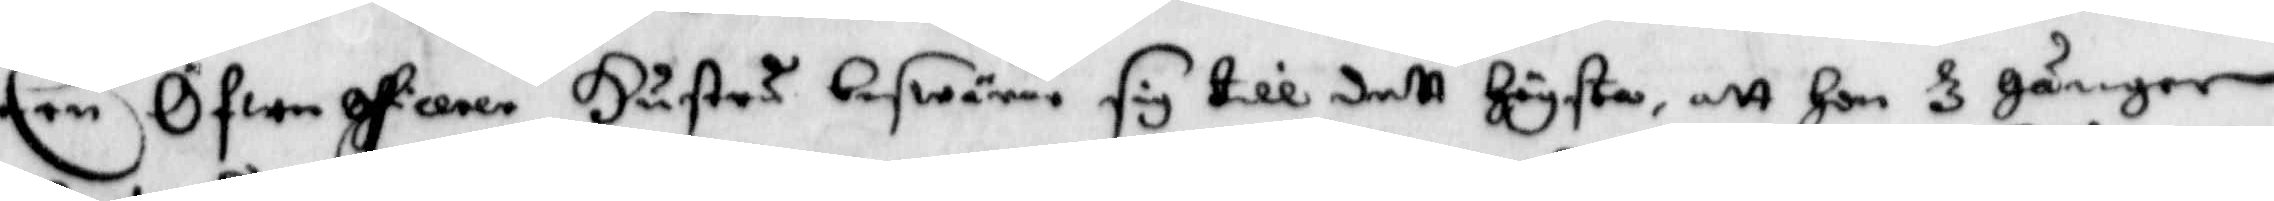Een Öfwerofficerer Hustru beswärer sig till dett Högsta, att Hon 3 gånger
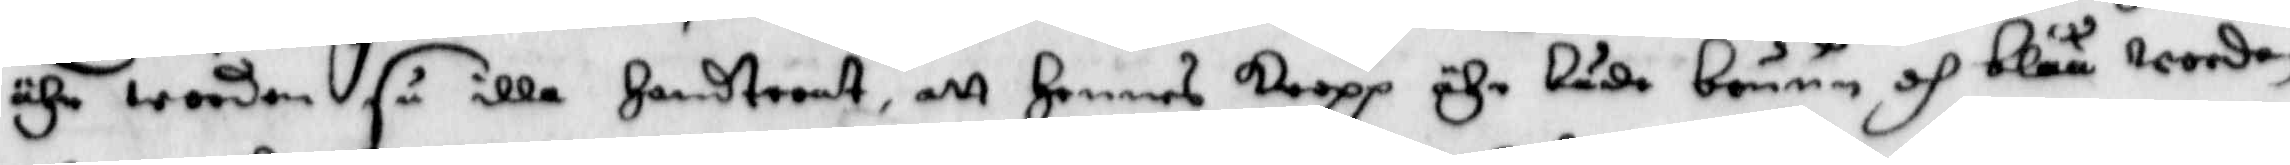ähr worden så illa Handterat, att Hennes kropp ähr både bruun och blåå worden
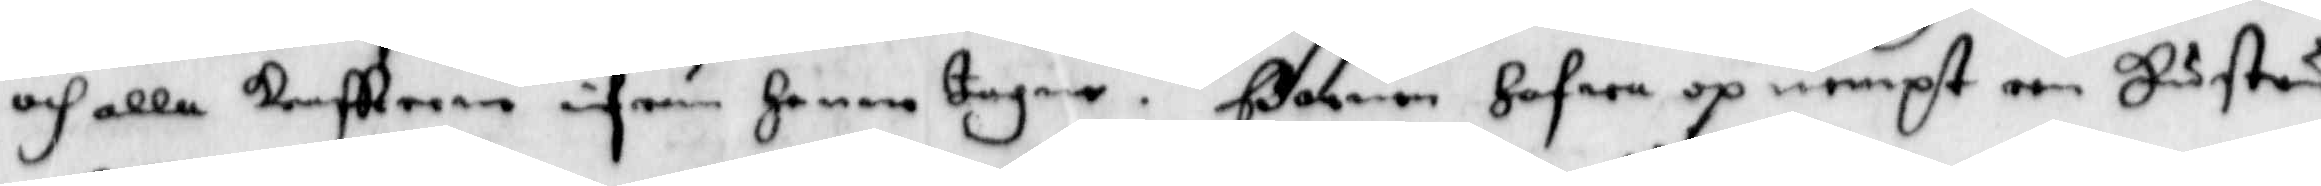och alla kraftterne ifrån Henne tagne. Barnen Hafwa op nempt een Hustru
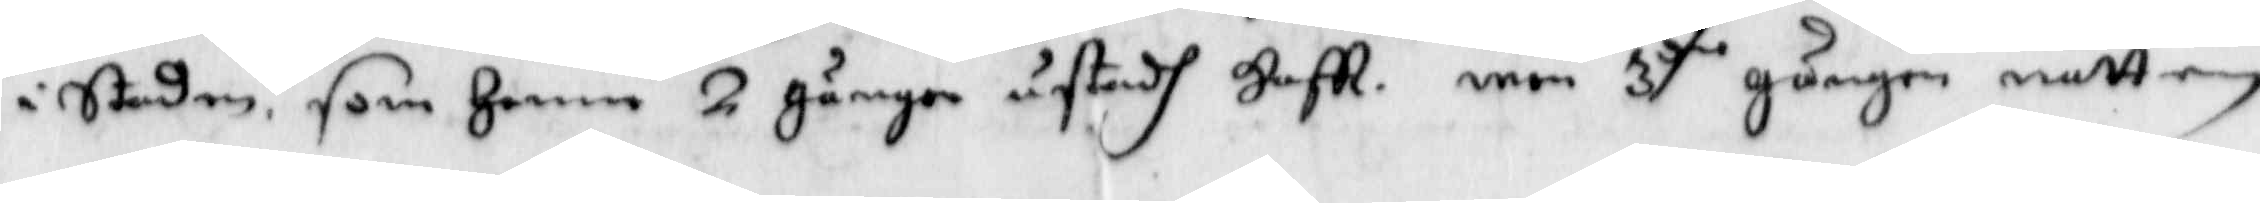i Staden som Henne 2 gånger åstadh Haff, men 3.die gånger natten
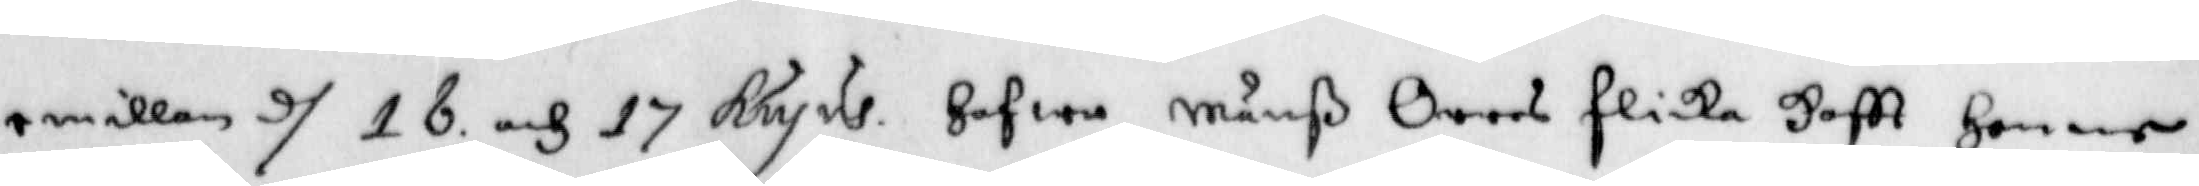emillan d 16 och 17 hujus Hafwa Månß Orres flicka Haftt Henne
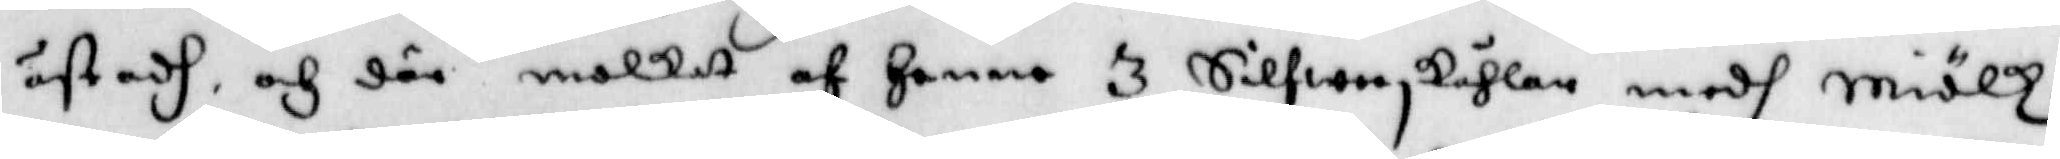åstadh och där molkat af Henne 3 Silwerskåhlar medh miölk,
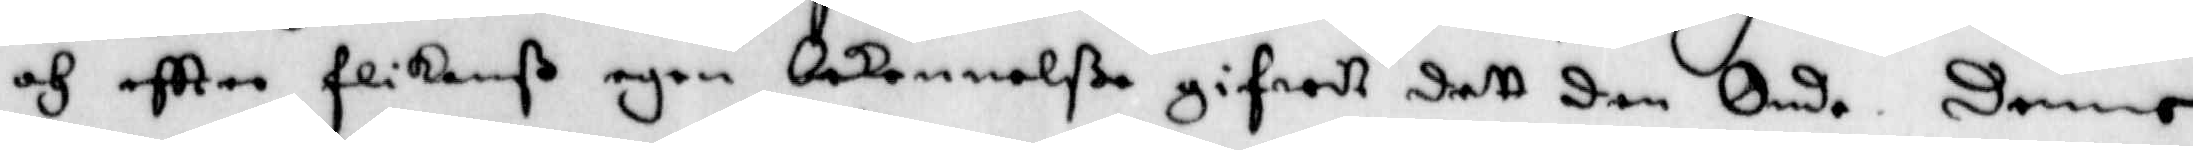och eftter flickanß egen bekennelße gifwet sett den Onde. Denne
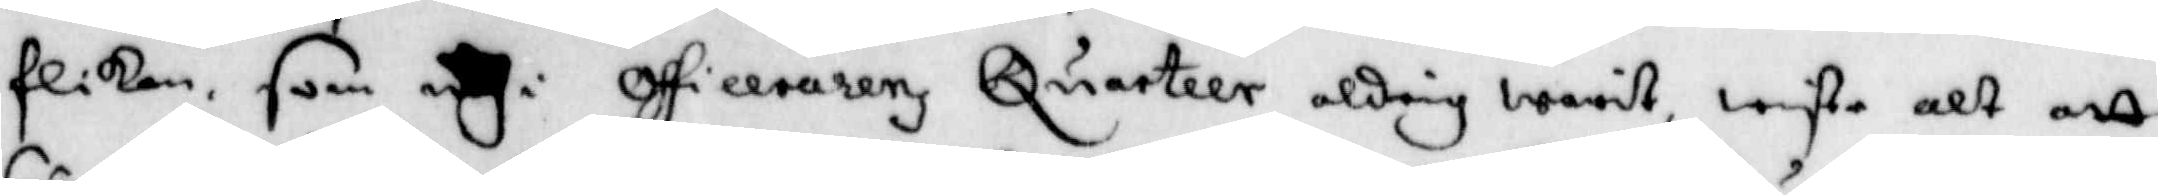flickan som ugi officerarenz Quarteer aldrig warit, wiste alt att
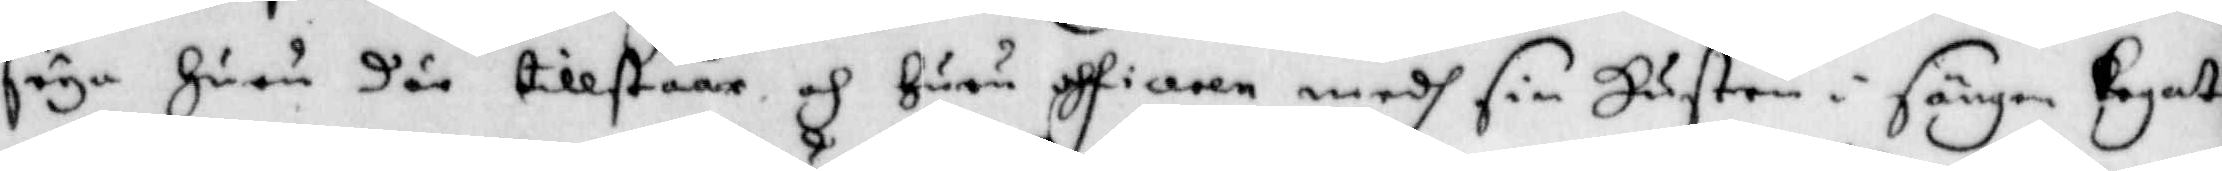säga Huru där tillståår och Huru officeren medh sin Hustru i sängen Legat
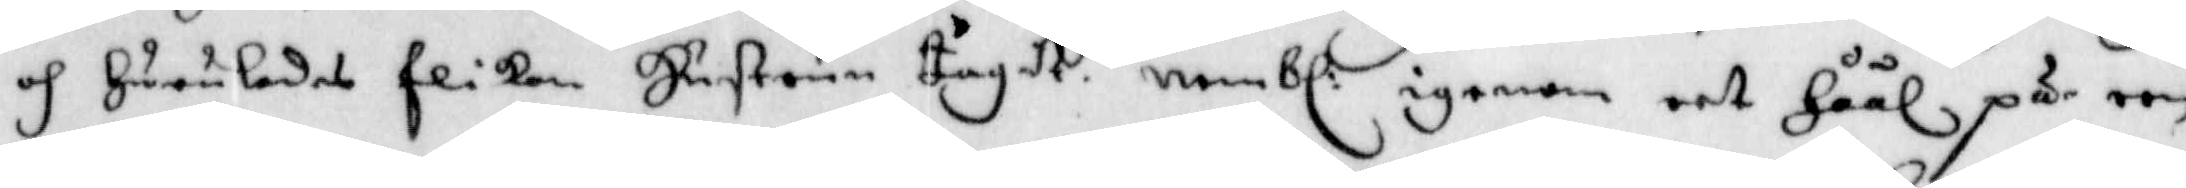och Huruledes flickan Hustrun tagit, nembl: igenom eet Håål på een
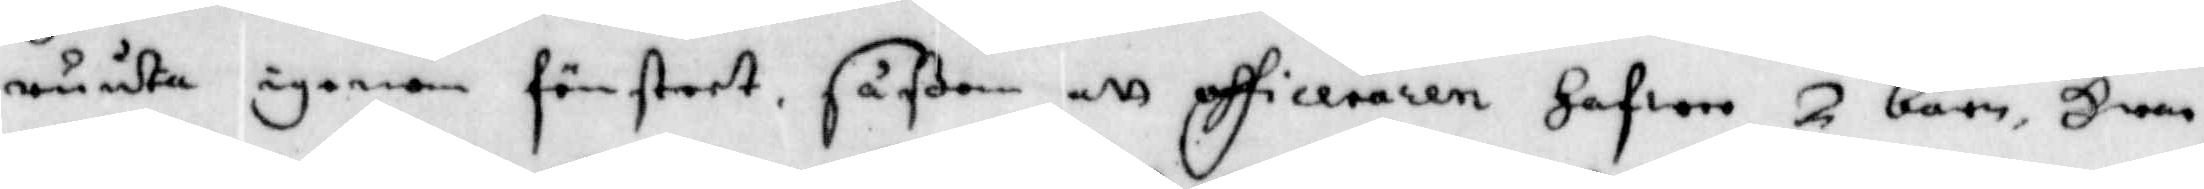ruuta igenom fönstret, såßom att officeraren Hafwer 2 barn, Hwar
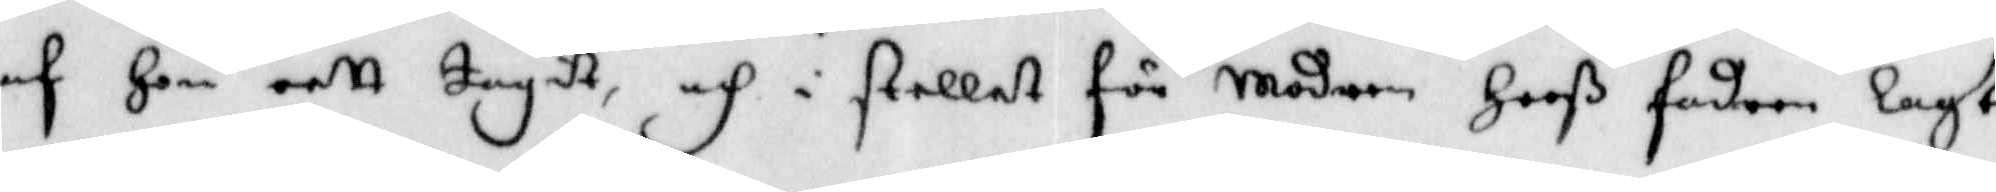af Hon eett tagit, och i stellet för Modren Hooß fadren lagt.
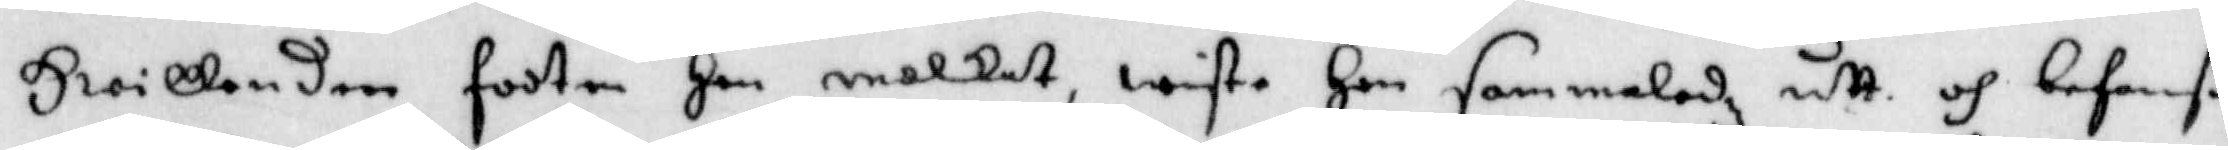Hwilken den footen Hon molkat wiste Hon sammaledz utt och befannß
